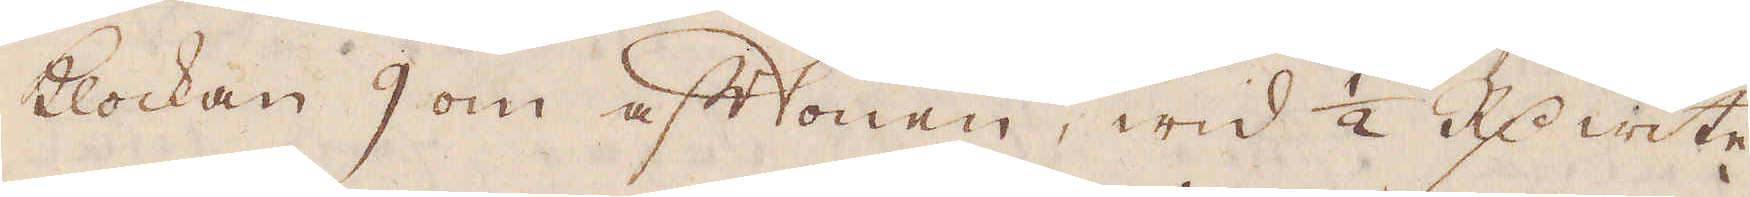Klockan 9 om aftonen, wid 1/2 R:dr wite
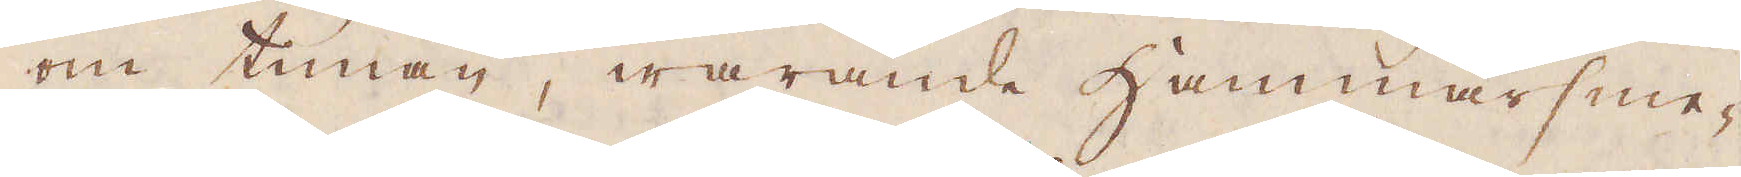om timan, warande hammarsme-
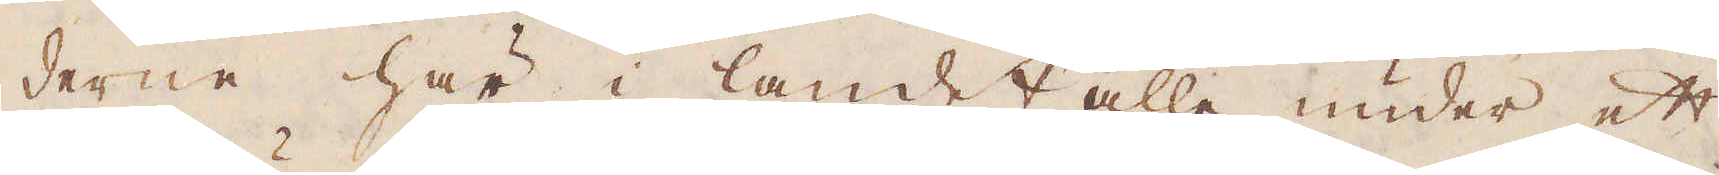derne här i landet alle under ett
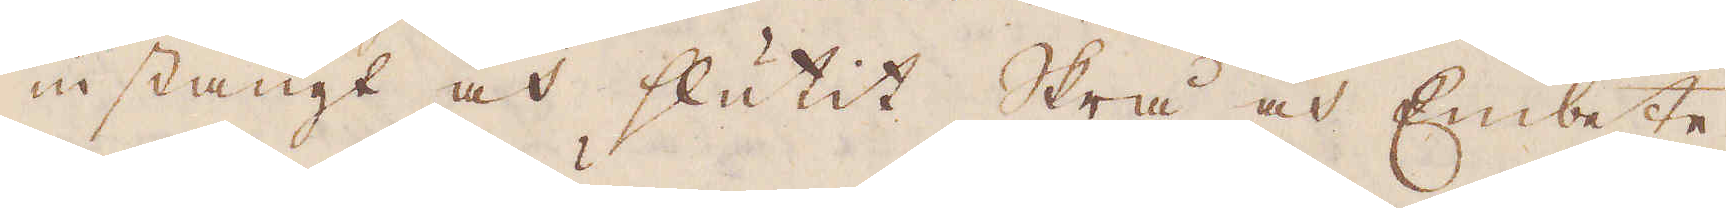instängt och slutit Strå och Embete,
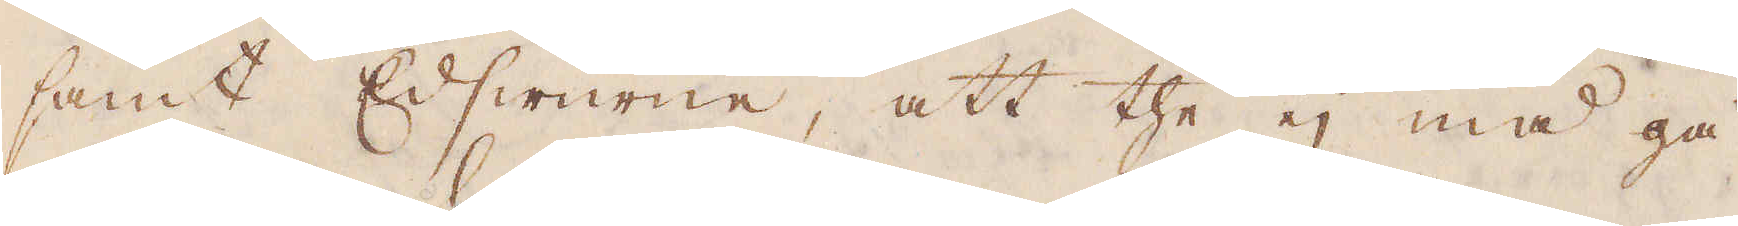samt Edswurne, att the ej må gå
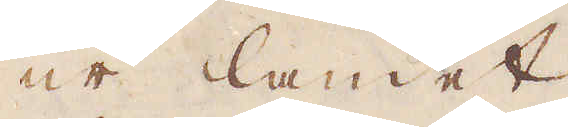ur landet.
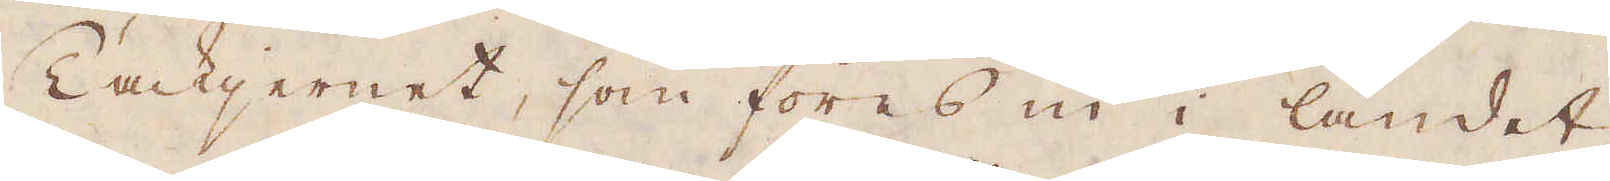Tackjernet, som föres in i landet
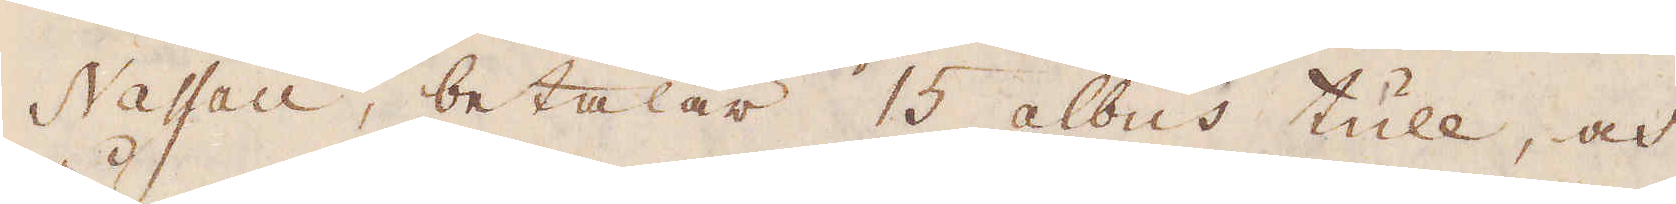Nassau, betalar 15 albus tull, och
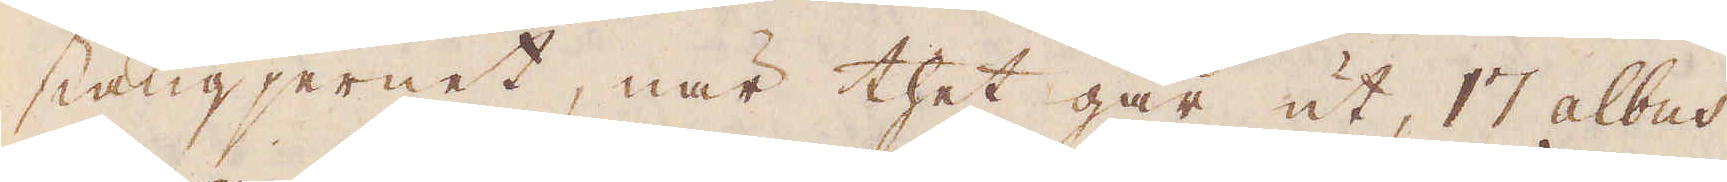stångjernet, när thet går ut, 17 albus
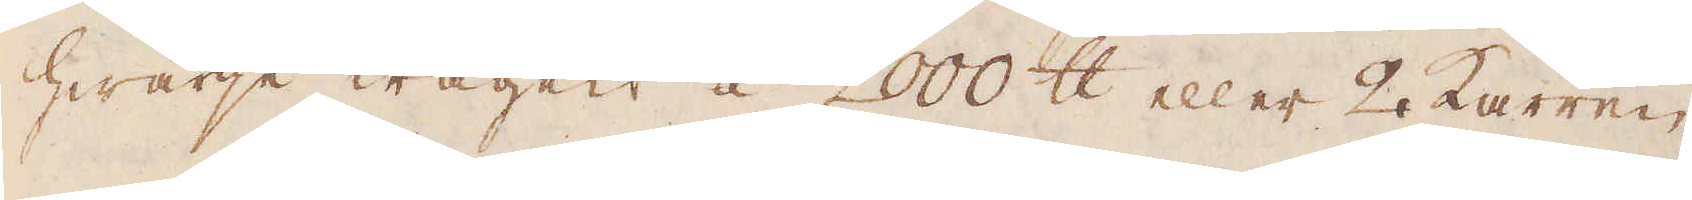hwarje wagen á 2000 skålpund eller 2 Karren.
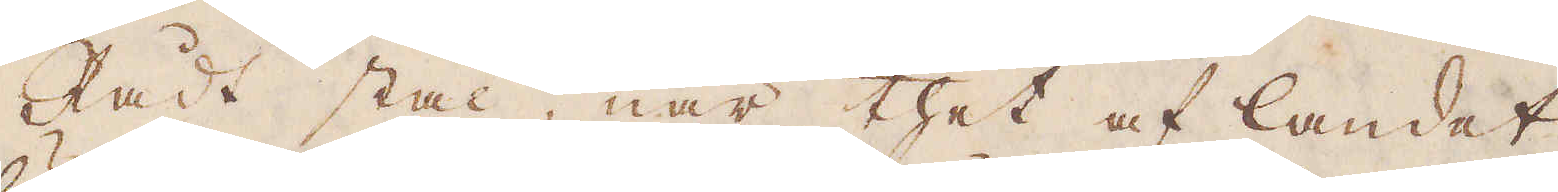Rådt stål, när thet af landet
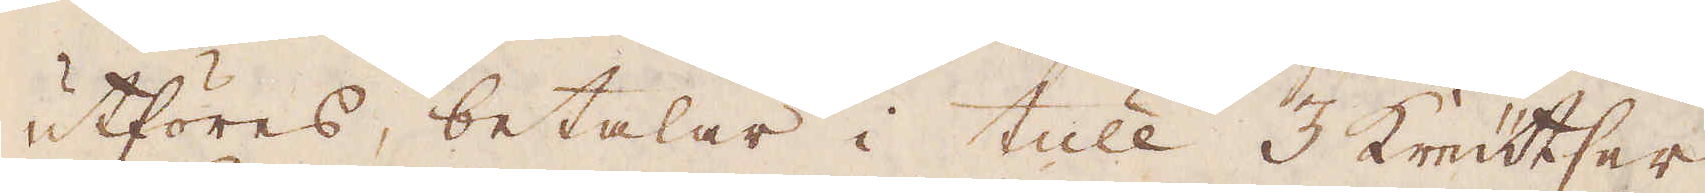utföres, betalar i tull 3 Kreutser
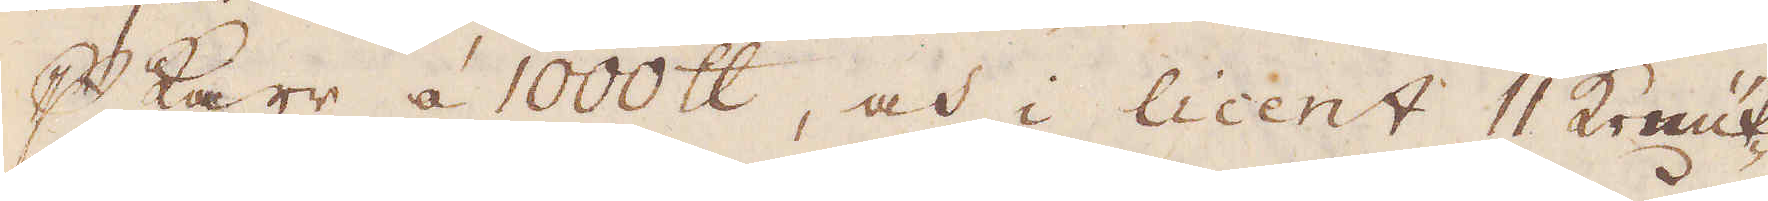p karr à 1000 skålpund, och i licent 11 Kreut-
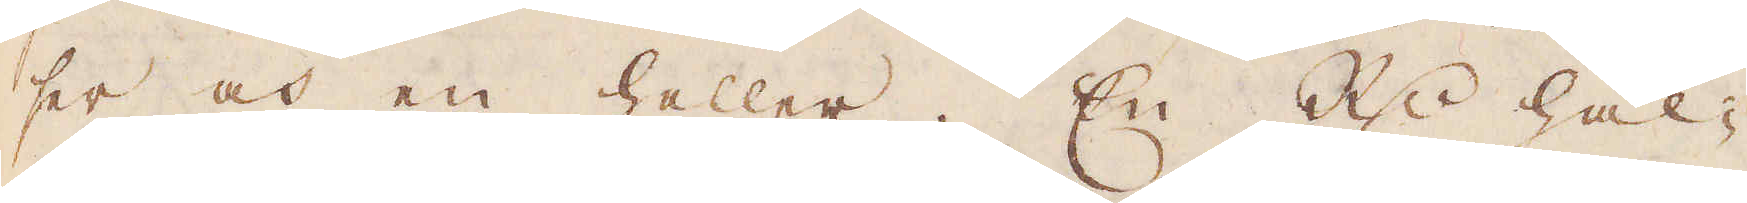ser och en heller. En R:dr hål-
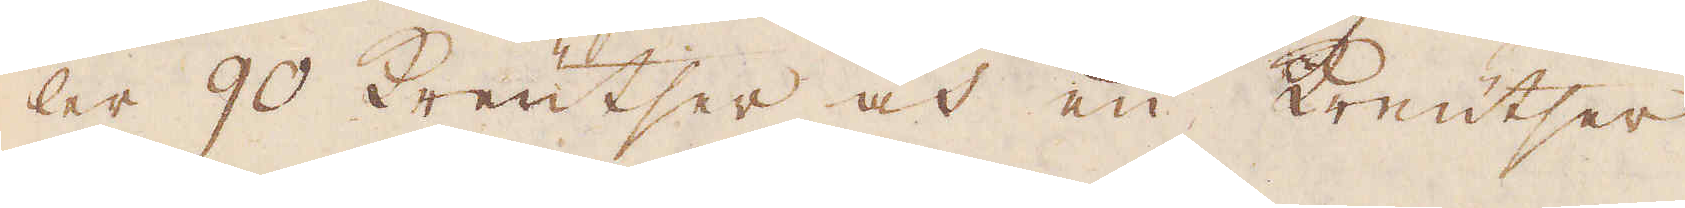ler 90 Kreutser och en Kreutser
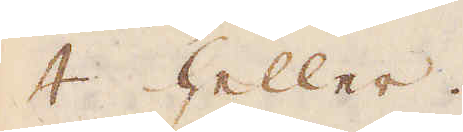4 heller.
